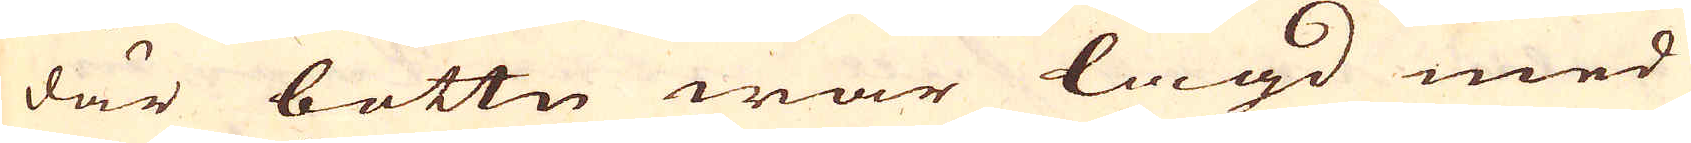där bottn war lagd med
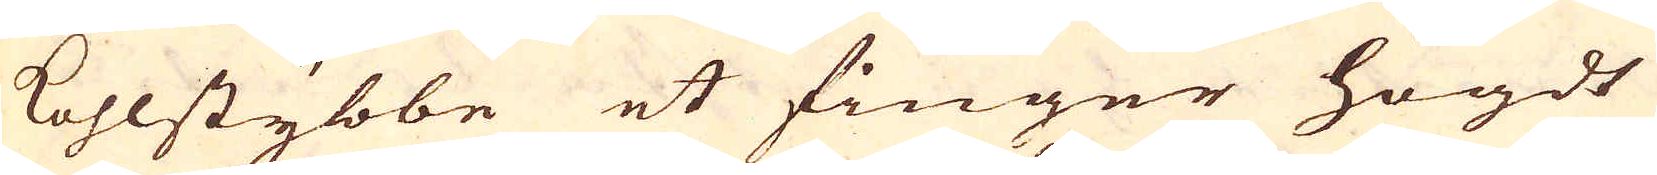Kohlstybbe et finger högdt
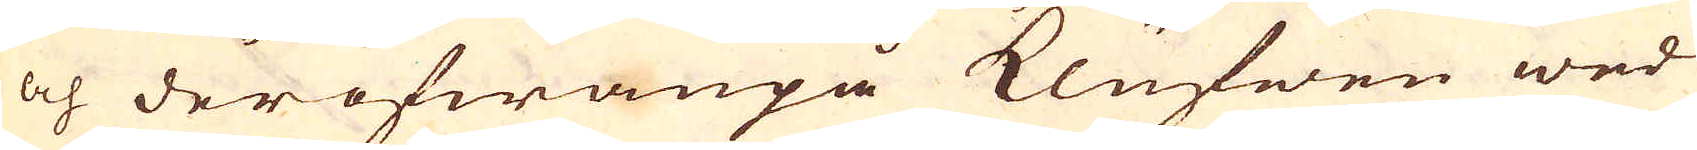och derofwanpå Klufwen wed
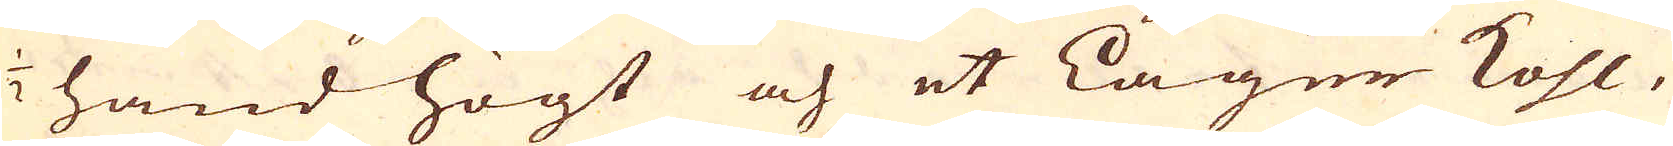1/2 hand högt och et Lager Kohl,
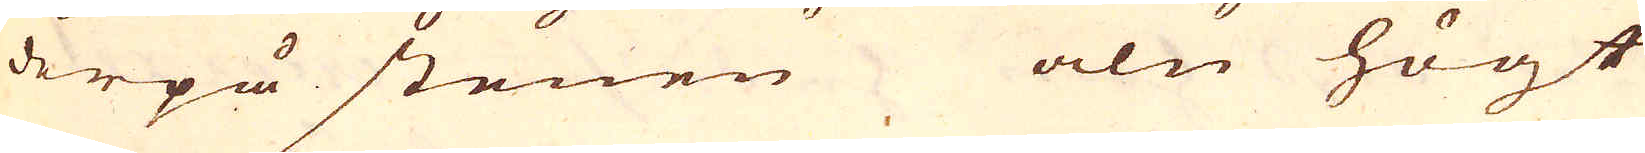derpå stenen aln högt
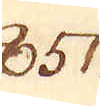851.
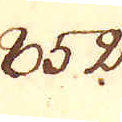852.
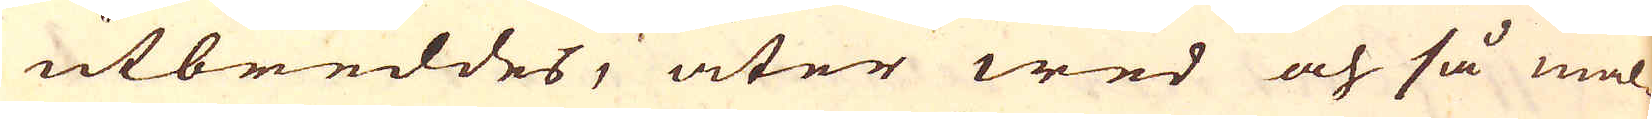utbreddes, åter wed och så mal-
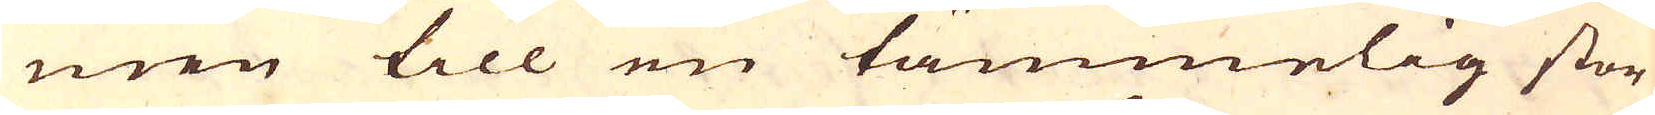men till en tämmelig stor
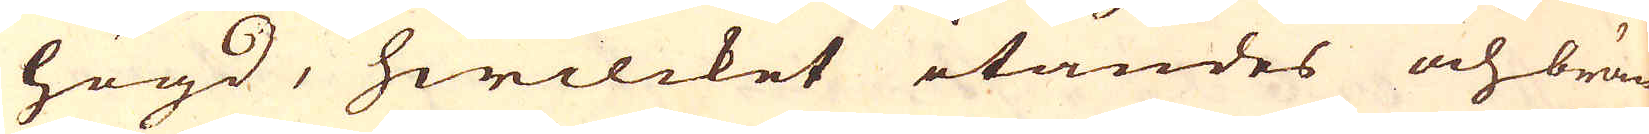högd, hwilcket itändes och brän-
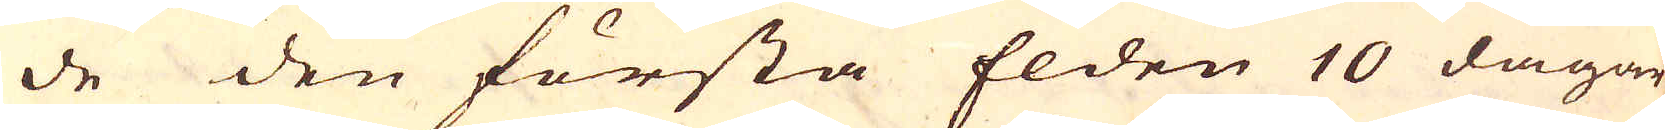de den första Elden 10 dagar,
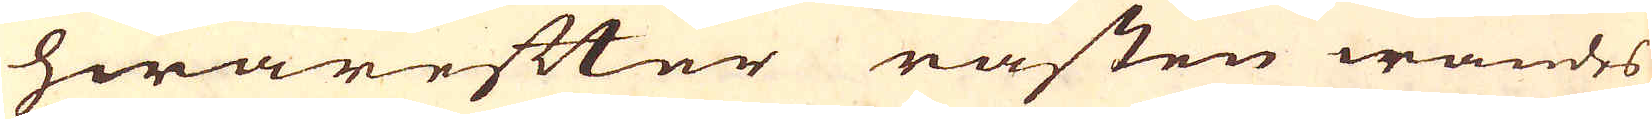hwarefter råsten wändes
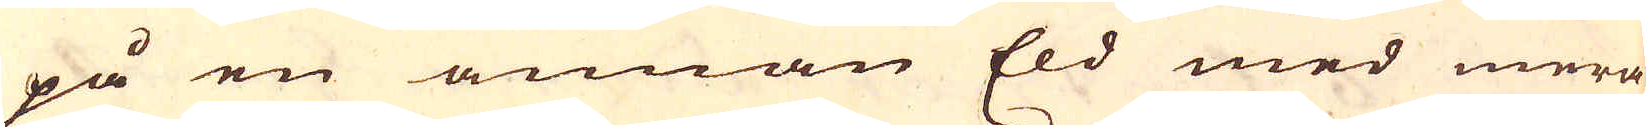på en annan Eld med mera
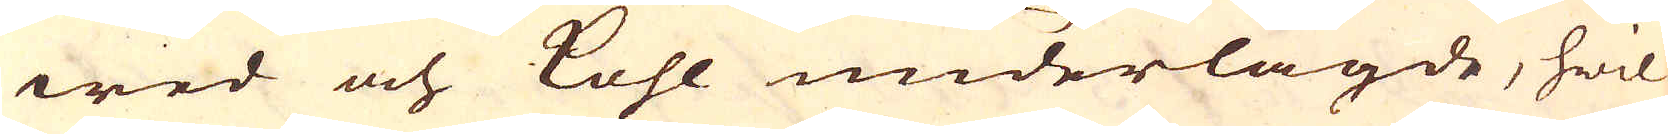wed och kohl underlagde, hwil-
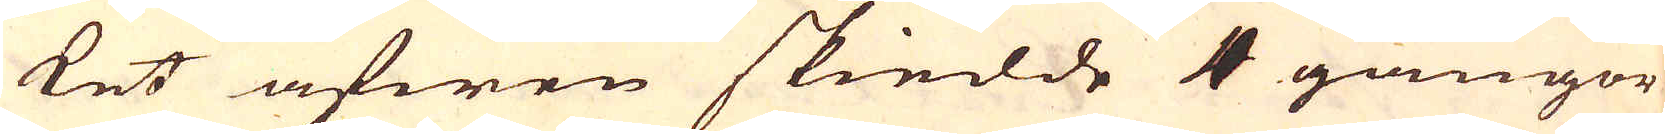ket äfwen skiedde 4 gångor
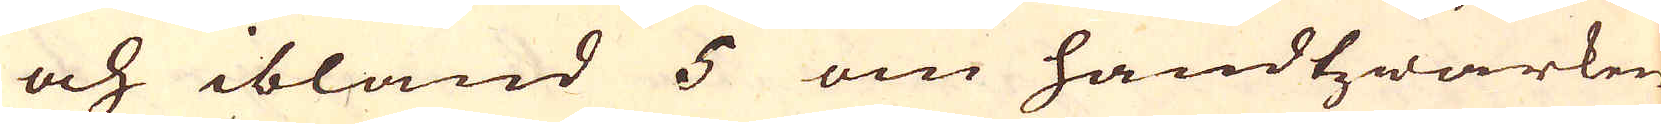och ibland 5 om handtwärken
